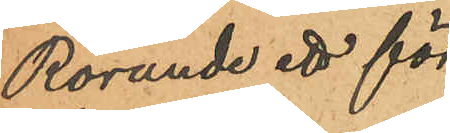Rörande ett för
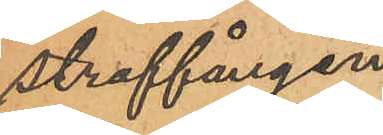straffången
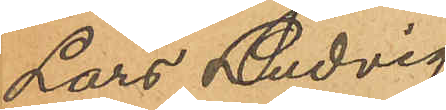Lars Ludvig
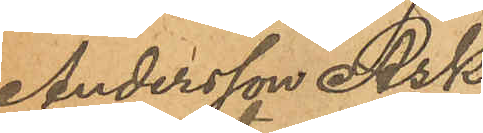Andersson Ask
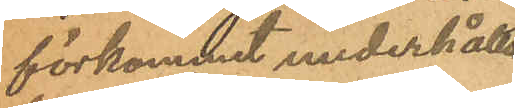förkommet underhålls¬
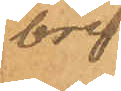bref.
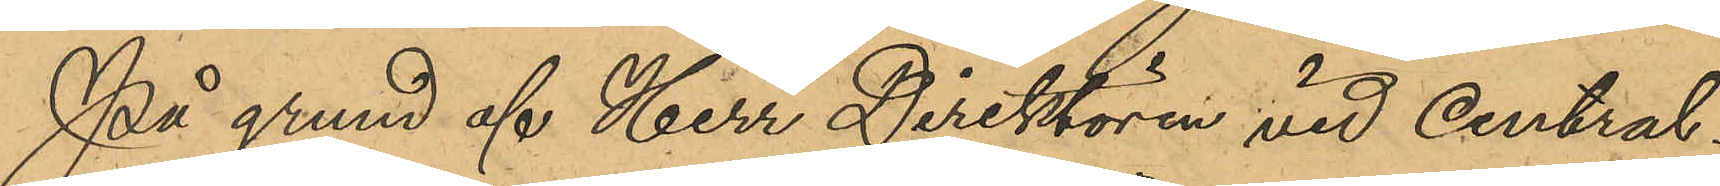På grund af Herr Direktören vid Central¬
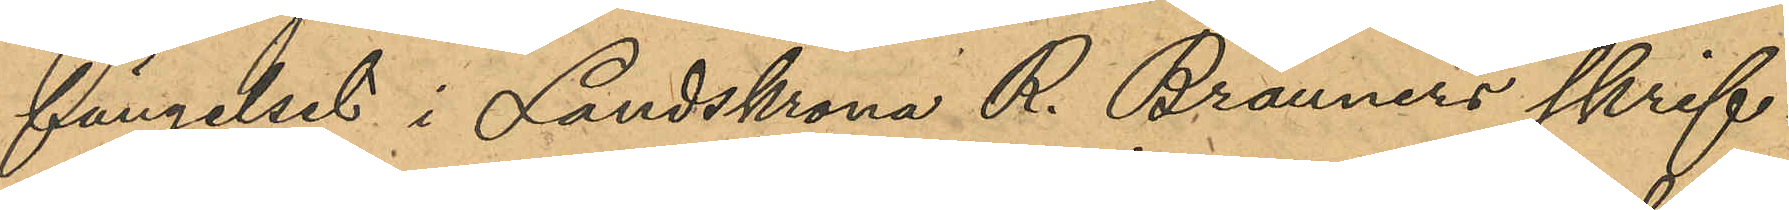fängelset i Landskrona R. Brauners skrif¬
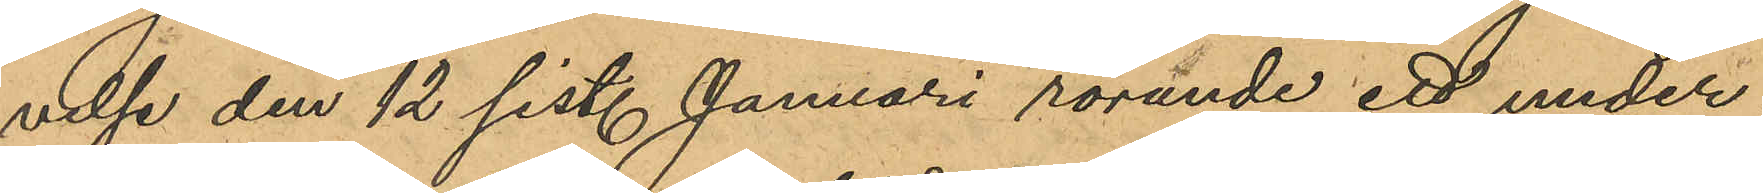velse den 12 sist. Januari rörande ett under¬
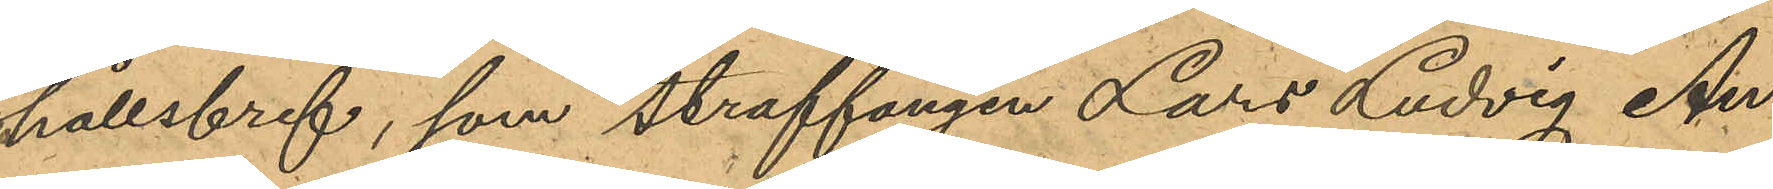hållsbref, som straffången Lars Ludvig An¬
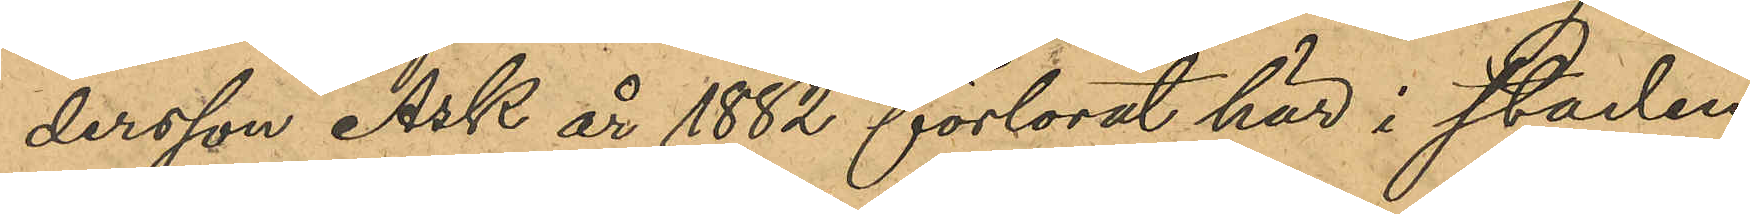dersson Ask år 1882 förlorat här i staden
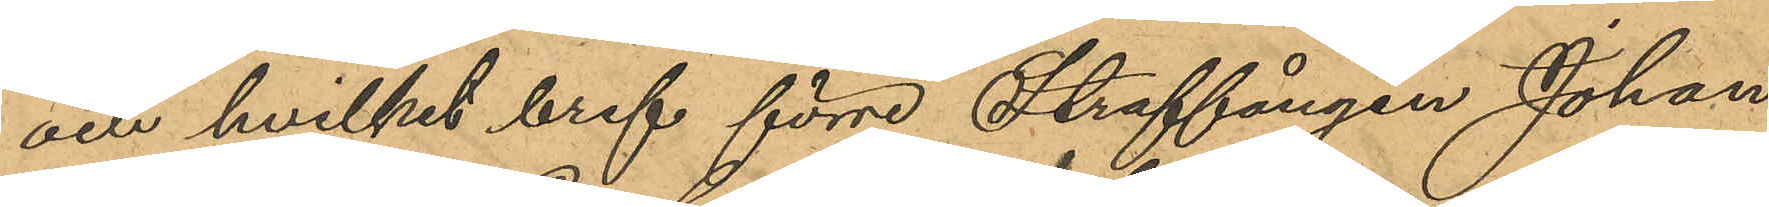och hvilket bref förre Straffången Johan
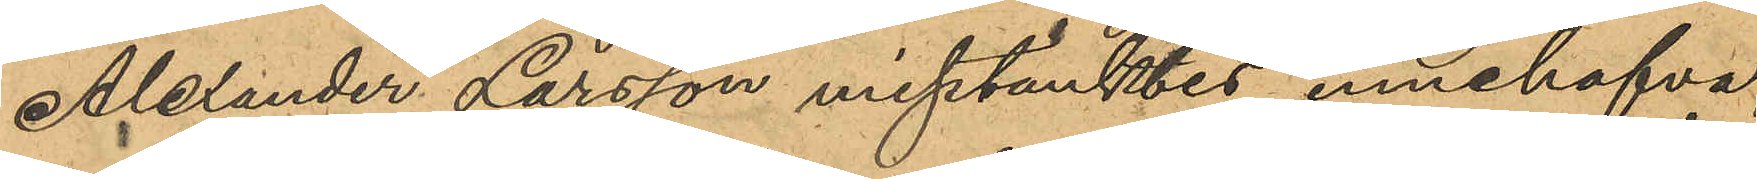Alexander Larsson misstänktes innehafva,
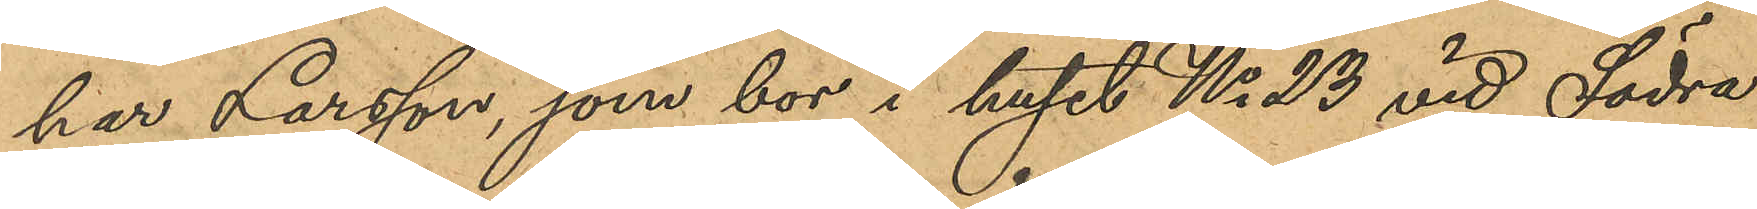har Larsson, som bor i huset No 23 vid Södra
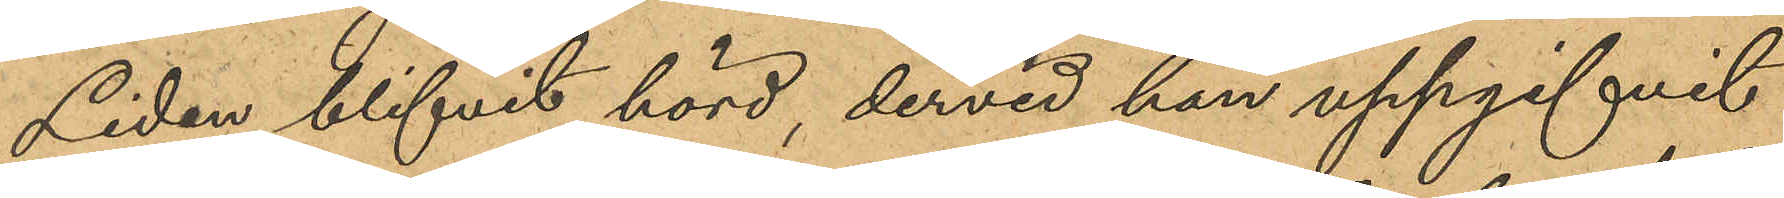Liden, blifvit hörd, dervid han uppgifvit
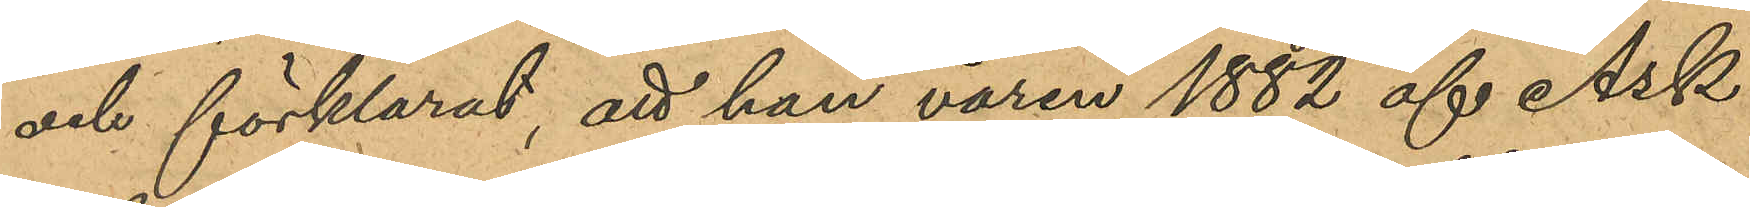och förklarat, att han våren 1882 af Ask
